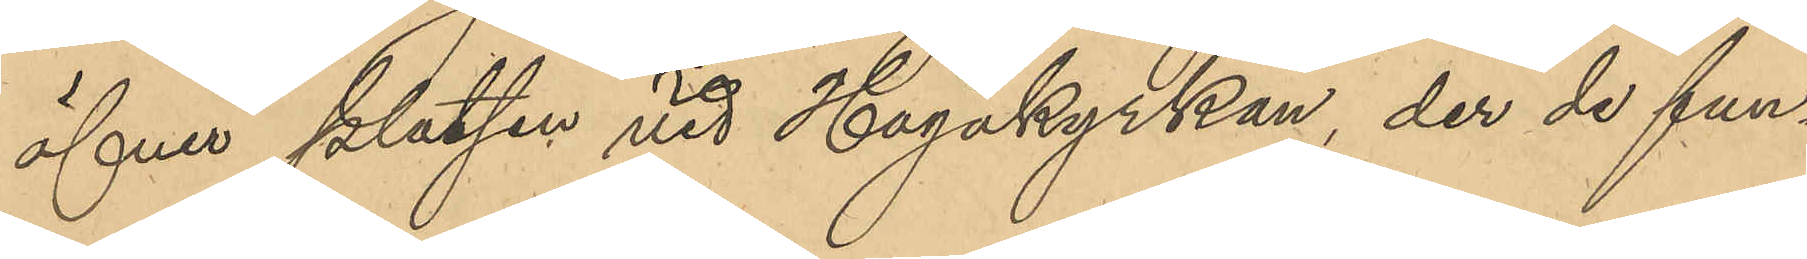öfver platsen vid Hagakyrkan, der de fun¬
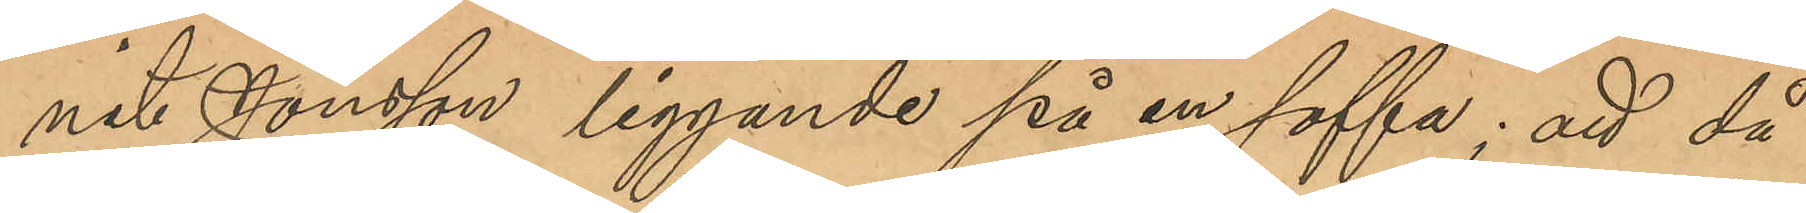nit Jonsson liggande på en soffa; att då
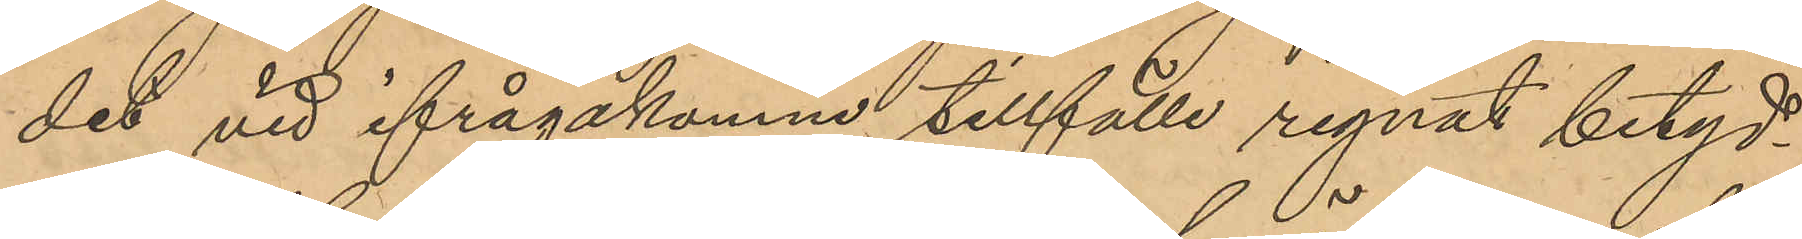det vid ifrågakomne tillfälle regnat betyd¬
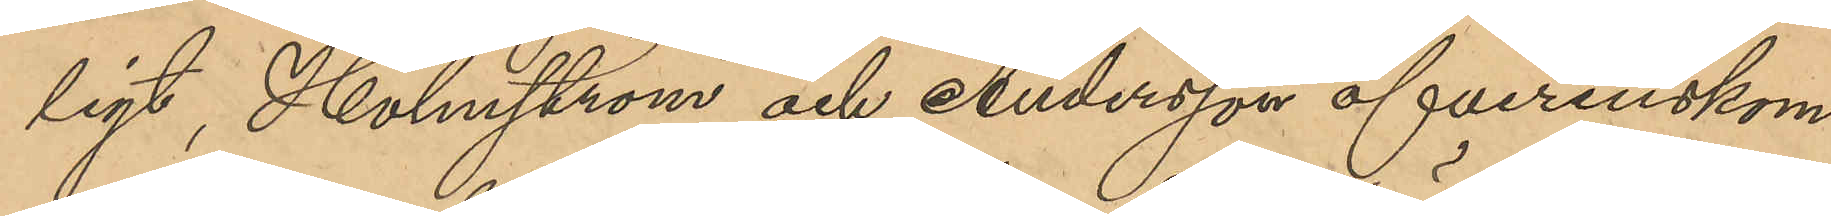ligt, Holmström och Andersson öfverenskom¬
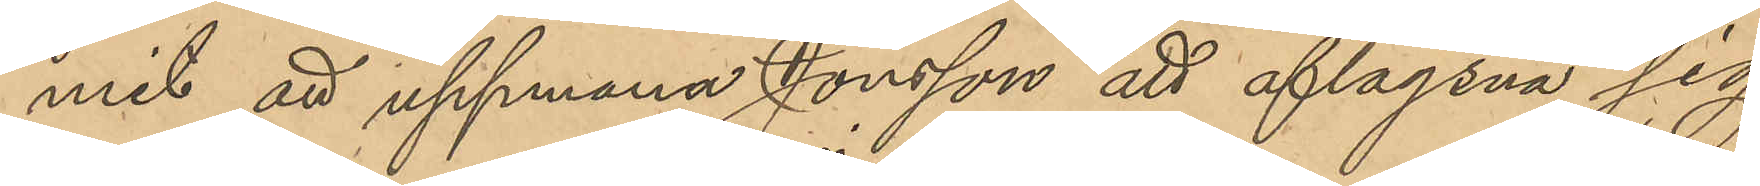mit att uppmana Jonsson att aflägsna sig
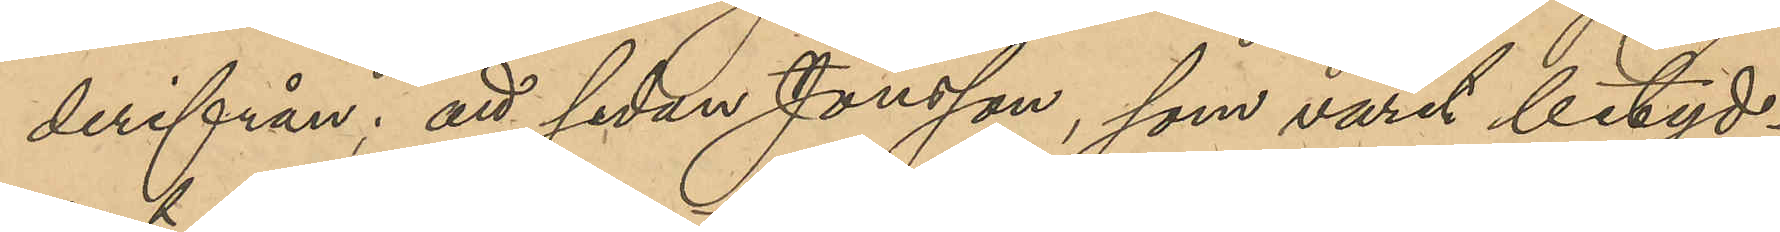derifrån; att sedan Jonson, som varit betyd¬
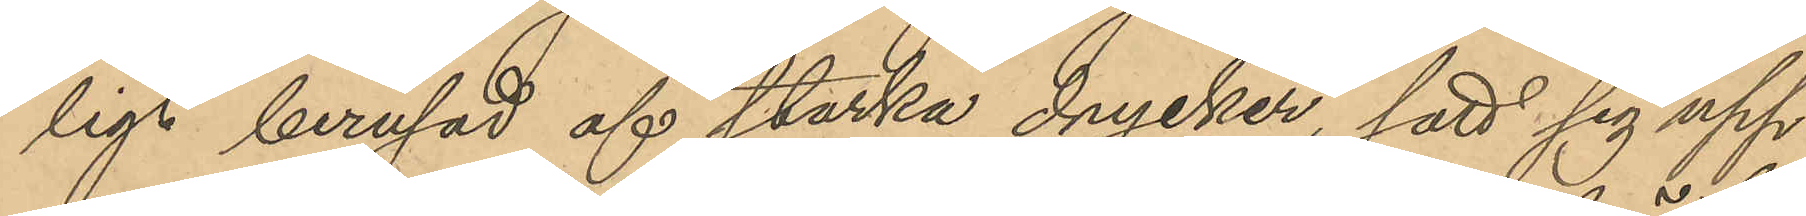ligt berusad af starka drycker, satt sig upp
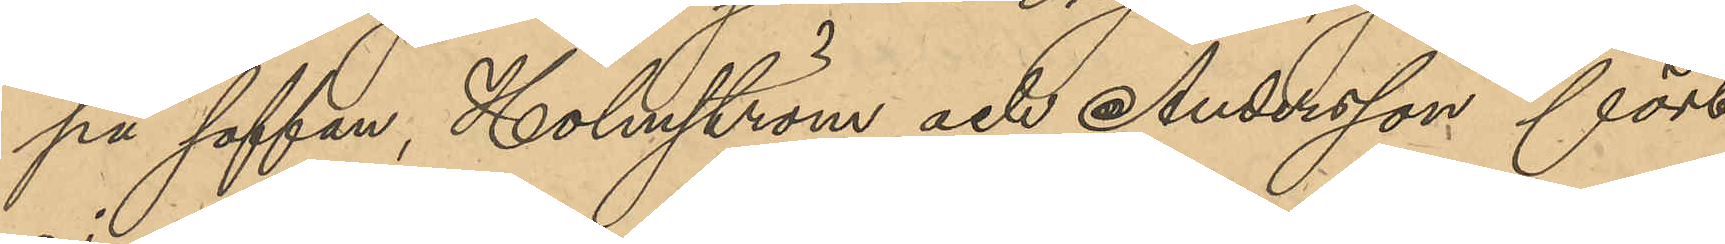på soffan, Holmström och Andersson fört
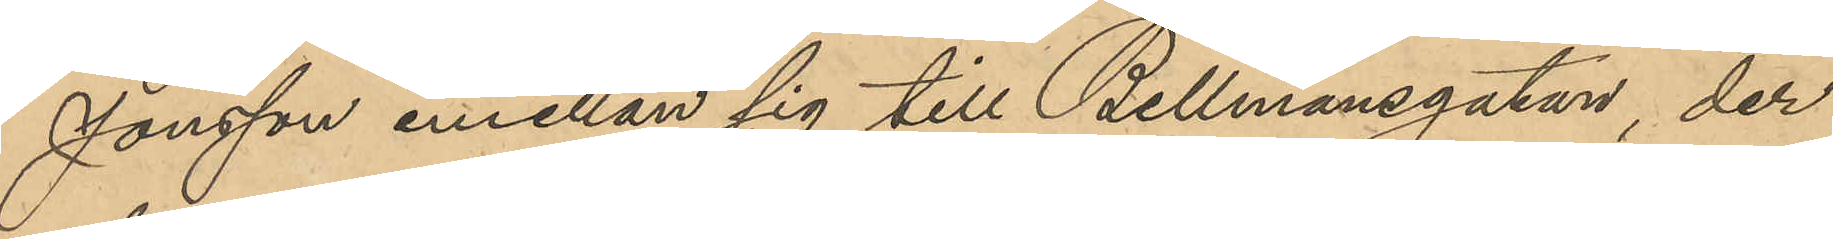Jonsson emellan sig till Bellmansgatan, der
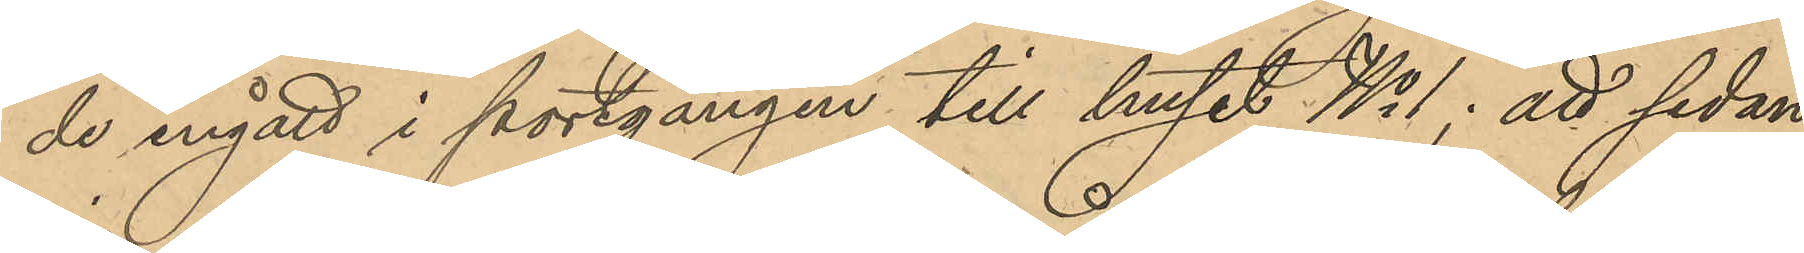de ingått i portgången till huset No 1; att sedan
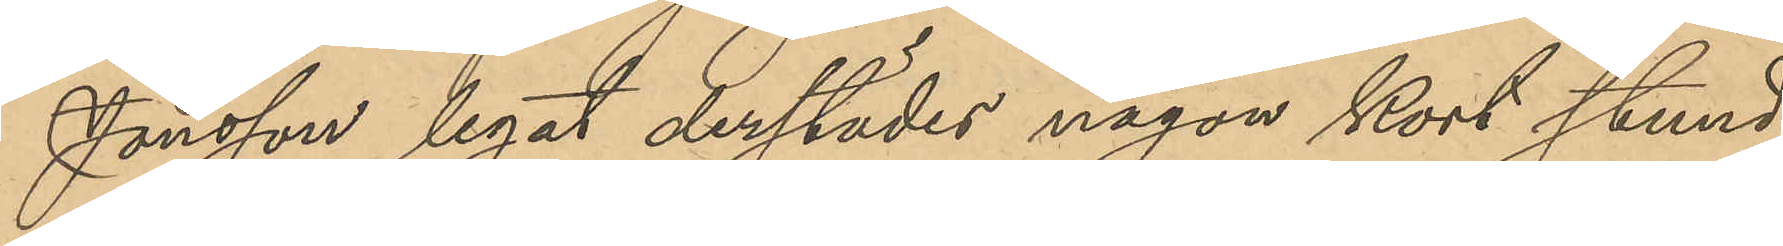Jonsson legat derstädes någon kort stund,
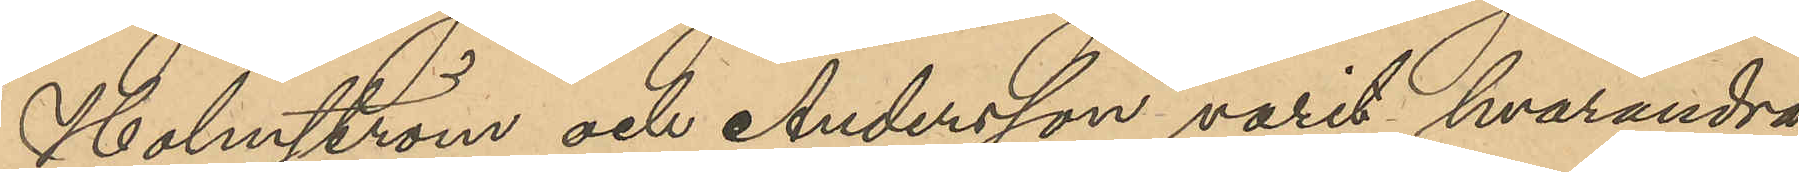Holmström och Andersson varit hvarandra
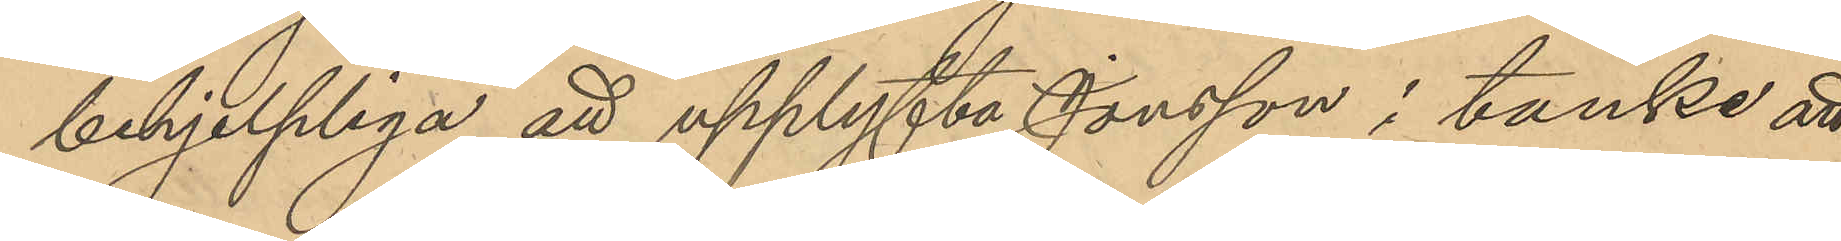behjelpliga att upplyfta Jonsson i tanke att
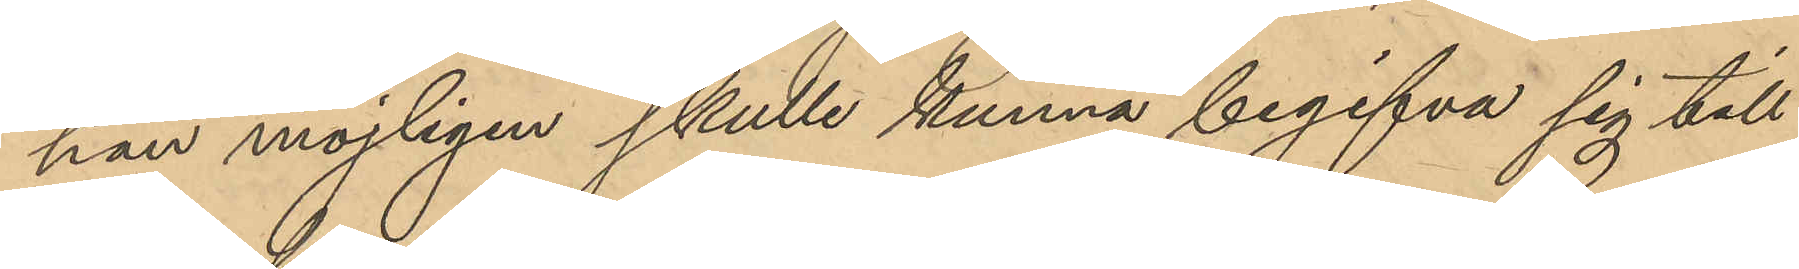han möjligen skulle kunna begifva sig till
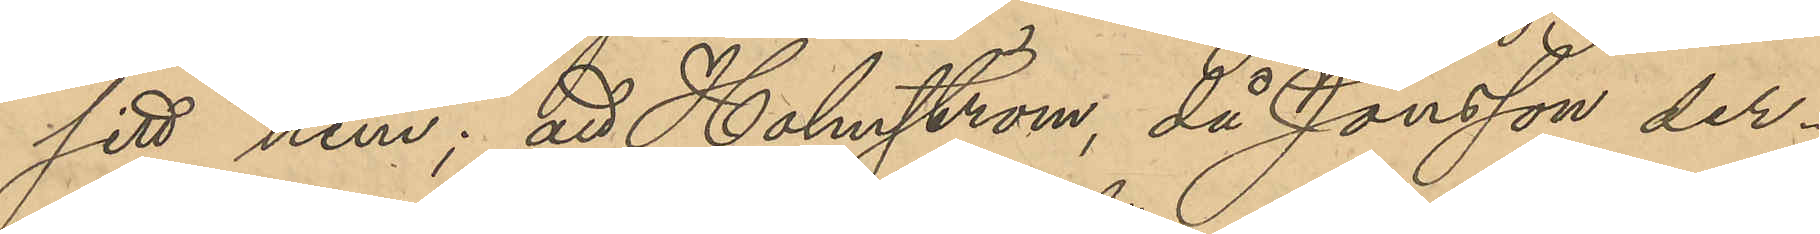sitt hem; att Holmström, då Jonsson der¬
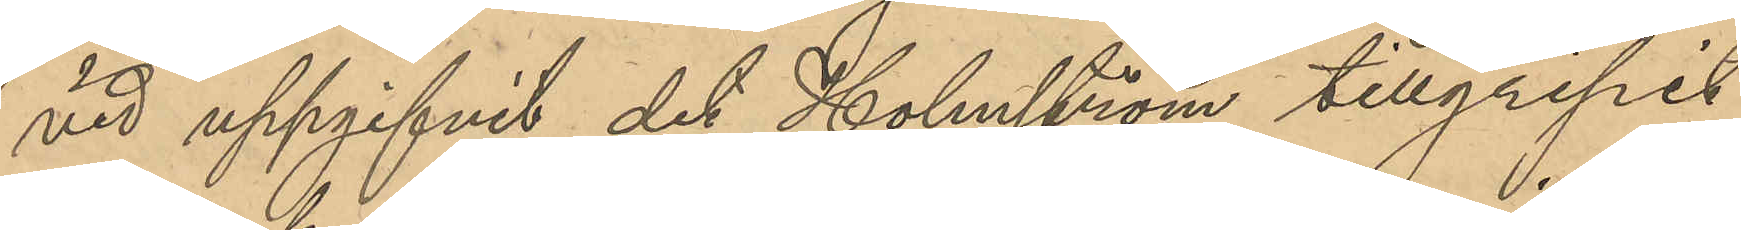vid uppgifvit det Holmström tillgripit
